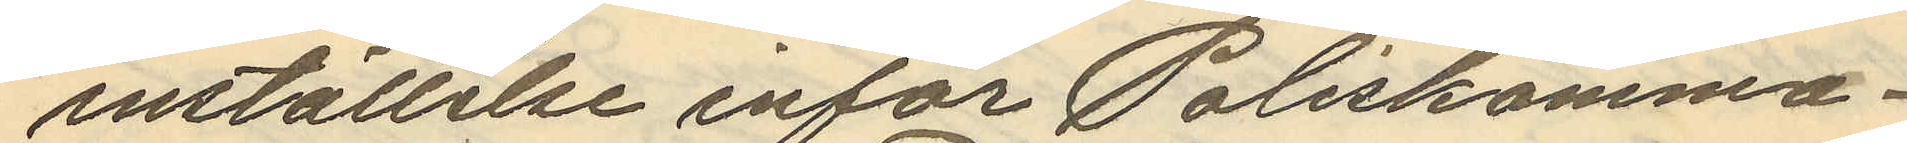inställelse inför Poliskamma¬
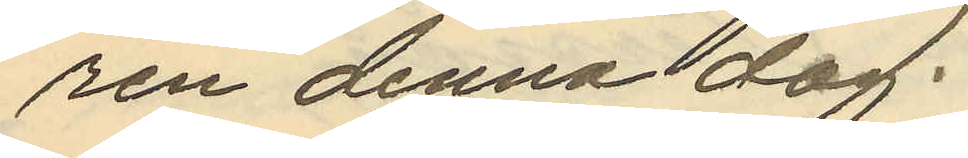ren denna dag.
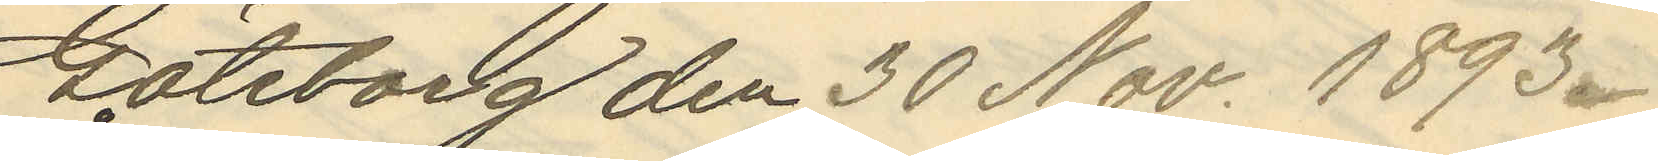Göteborg den 30 Nov. 1893.
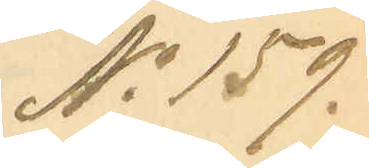No 159.
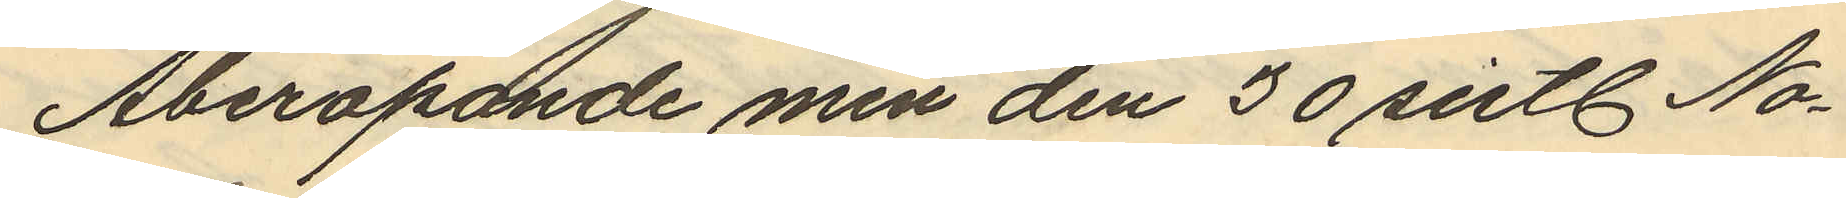Åberopande min den 30 sistl No¬
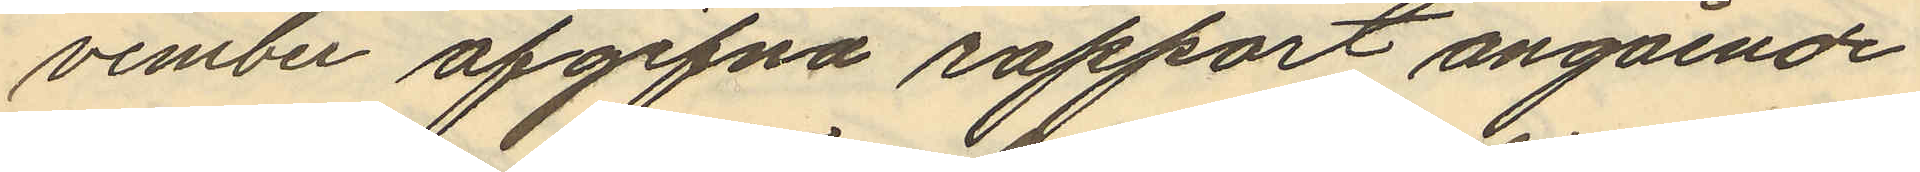vember afgifna rapport angående
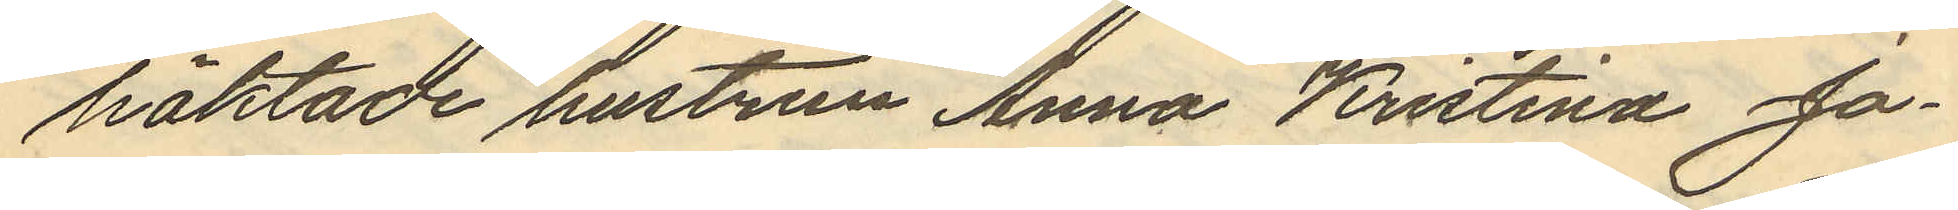häktade hustrun Anna Kristina Jo¬
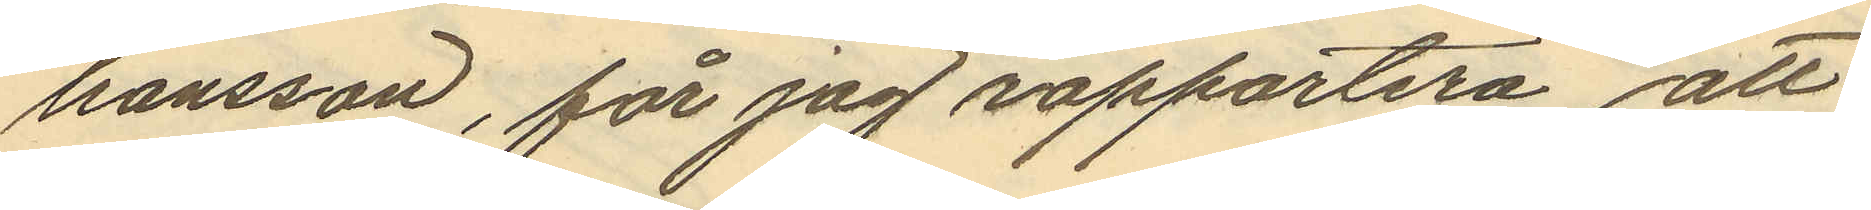hansson, får jag rapportera att
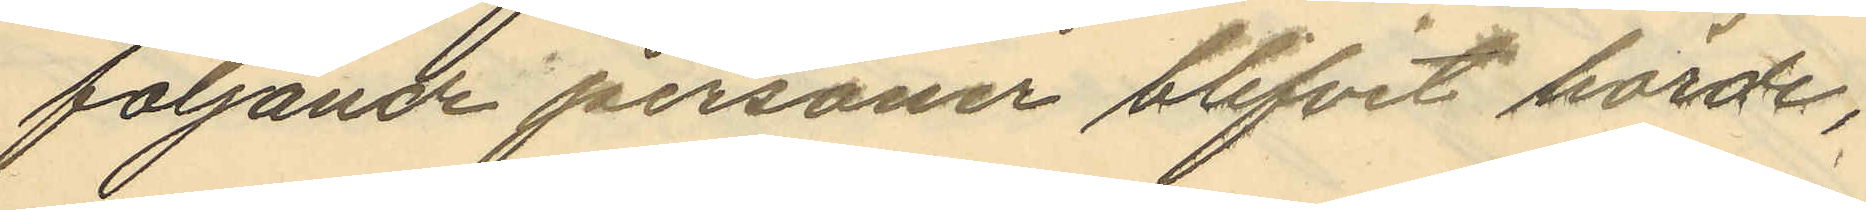följande personer blifvit hörde,
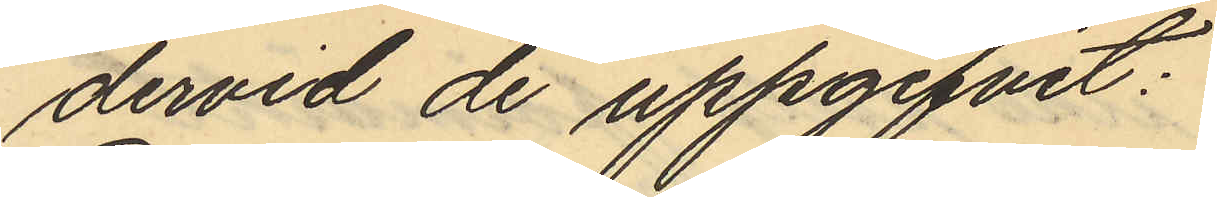dervid de uppgifvit:
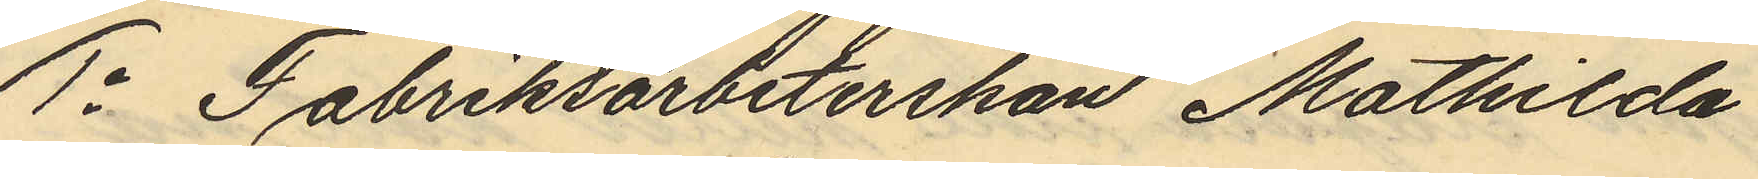1o Fabriksarbeterskan Mathilda
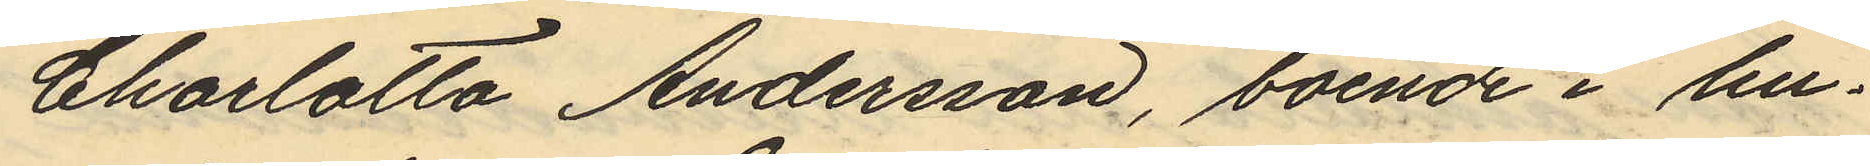Charlotta Andersson, boende i hu¬
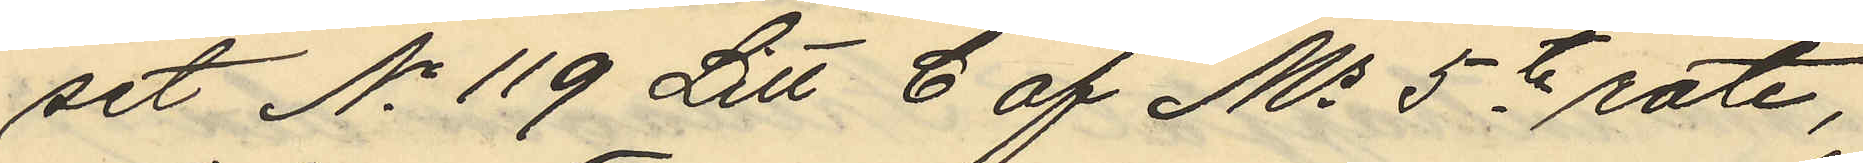set No 119 Litt C af Ms 5te rote,
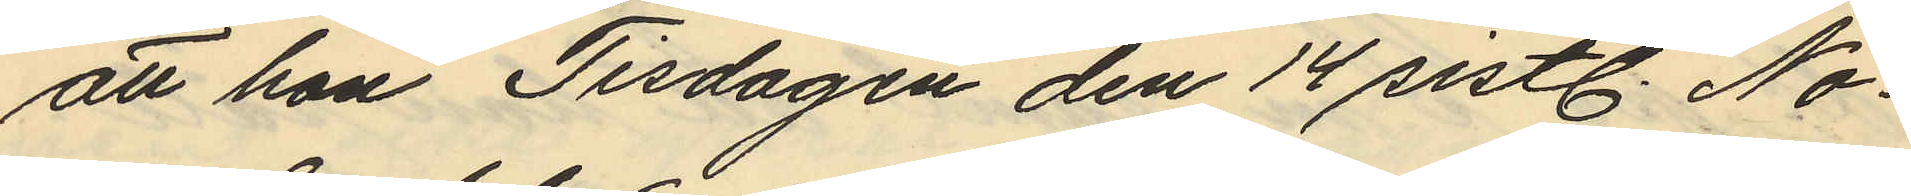att hon Tisdagen den 14 sistl. No¬
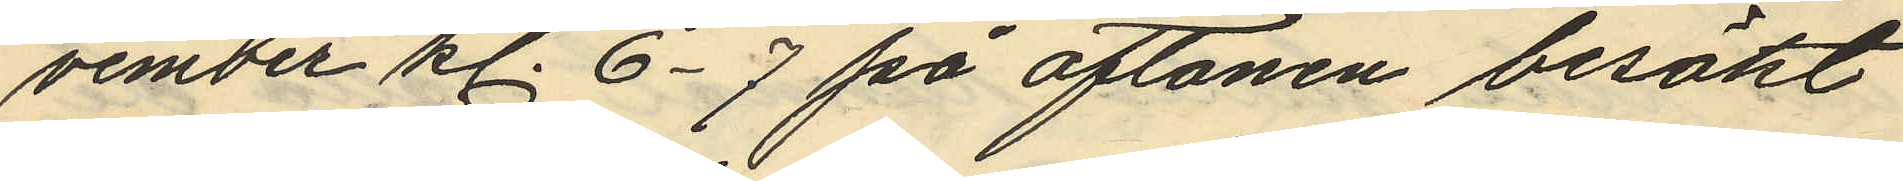vember kl. 6-7 på aftonen besökt
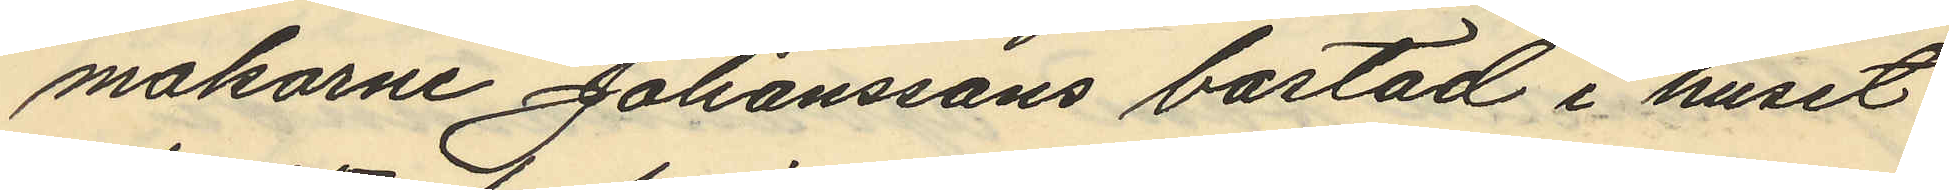makarne Johanssons bostad i huset
